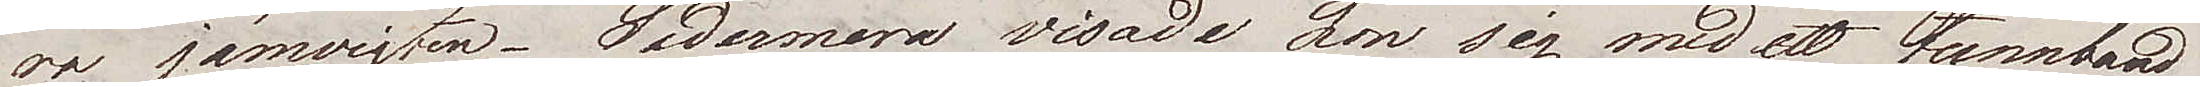ra jämvigten. Sedermera visade hon sig med ett tunnband
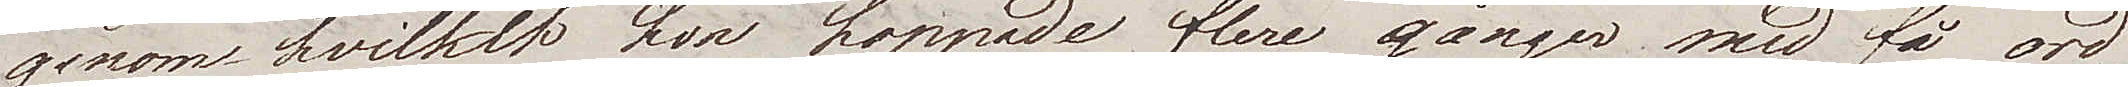genom hvilket hon hoppade flere gånger, med få ord,
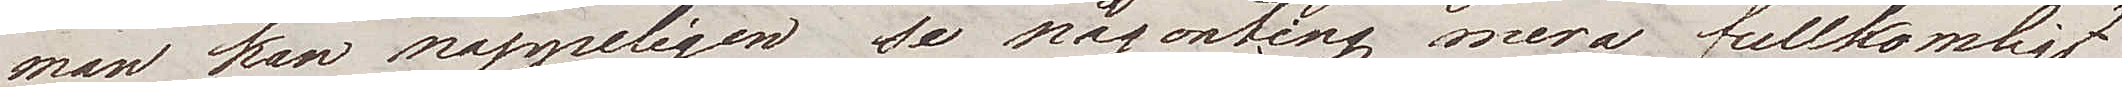man kan näppeligen se någonting mera fullkomligt
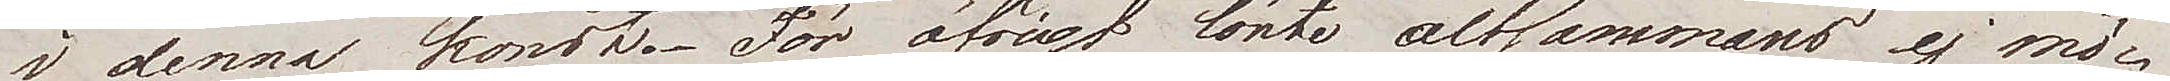i denna konst. För öfrigt lönte altsammans ej mö¬
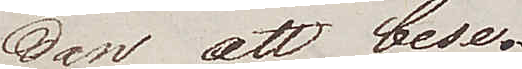dan att bese.
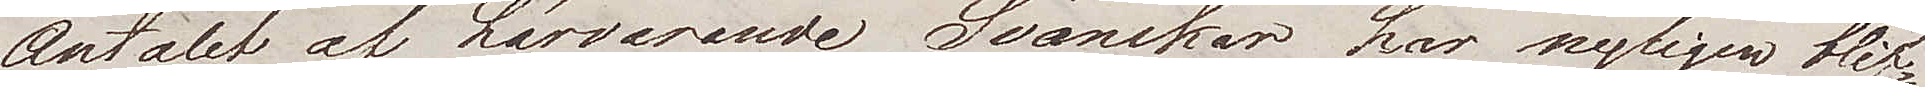Antalet av härvarande Svänskar har nyligen blif¬
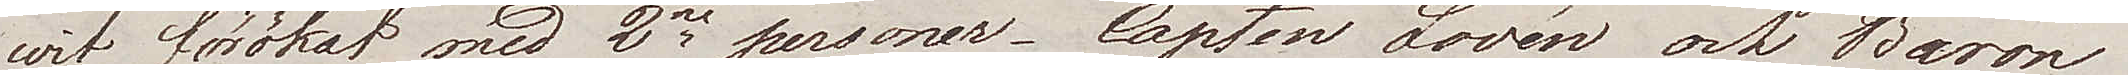vit förökat med 2ne personer, Capten Lovén och Baron
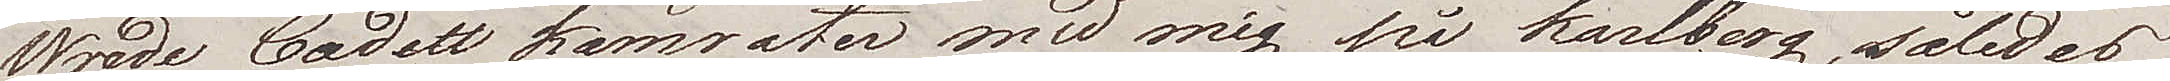Wrede, Cadett kamrater med mig på Karlberg, således
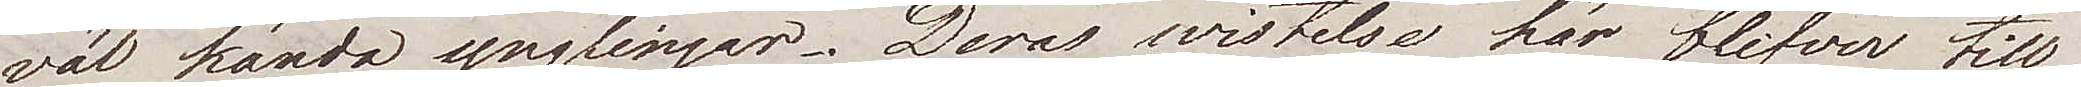väl kända ynglingar. Deras wistelse här blifver till
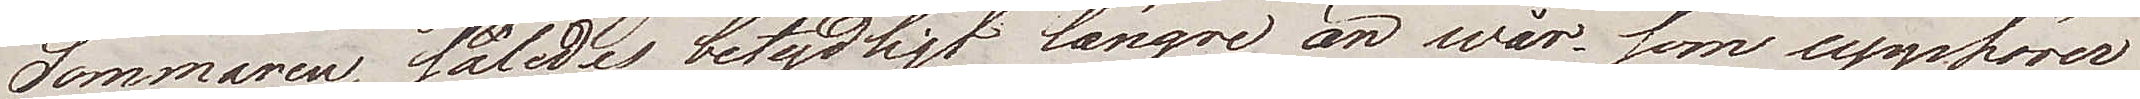Sommaren, således betydligt längre än wår, som upphörer
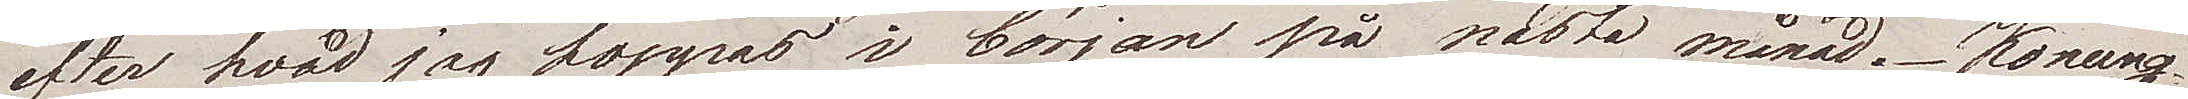efter hvad jag hoppas i början på nästa månad. Konung¬
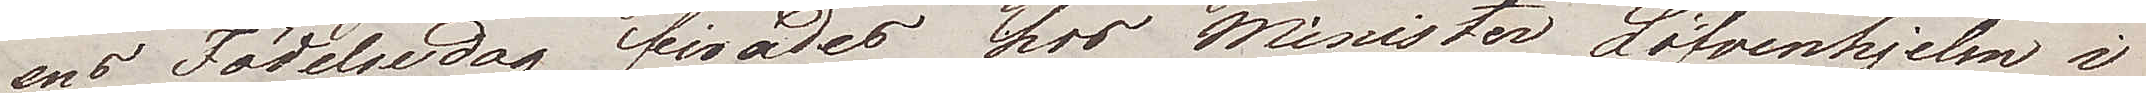ens födelsedag firades hos Minister Löfvenhjelm i
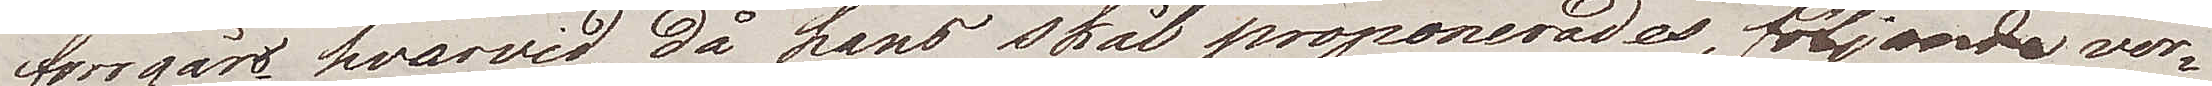förrgår hvarvid, då  hans skål proponerades, följande ver¬
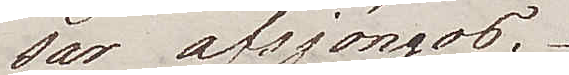ser afsjöngos.
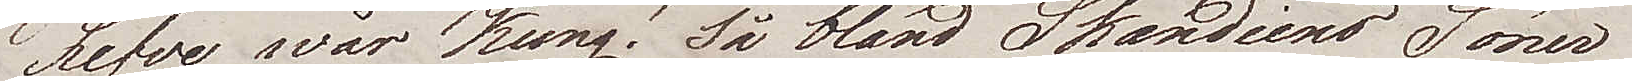Lefve wår Kung! Så bland Skandiens Söner
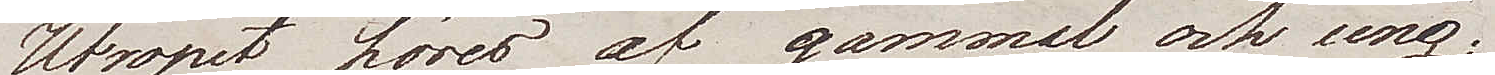Utropet höres af gammal och ung;
